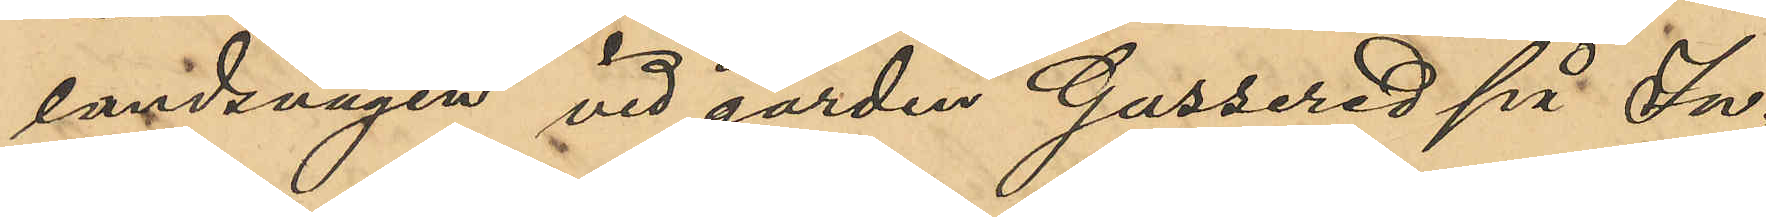landsvägen vid gården Gussered på In¬
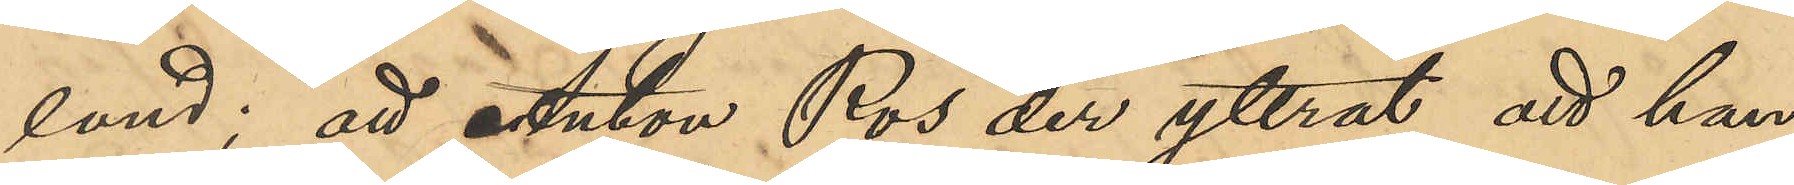land; att Anton Ros der yttrat att han
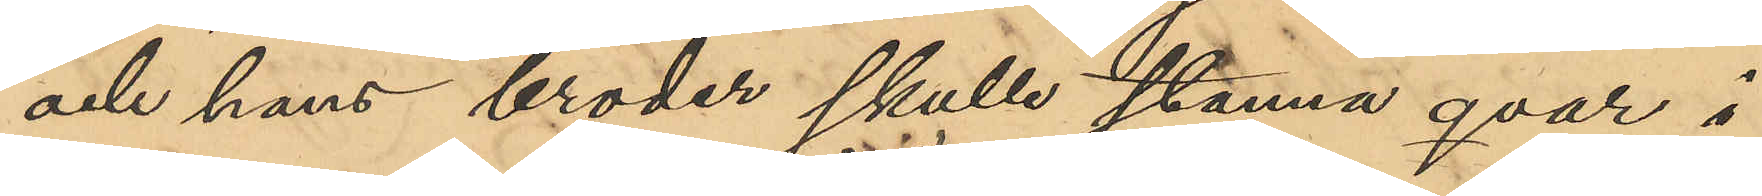och hans broder skulle stanna qvar i
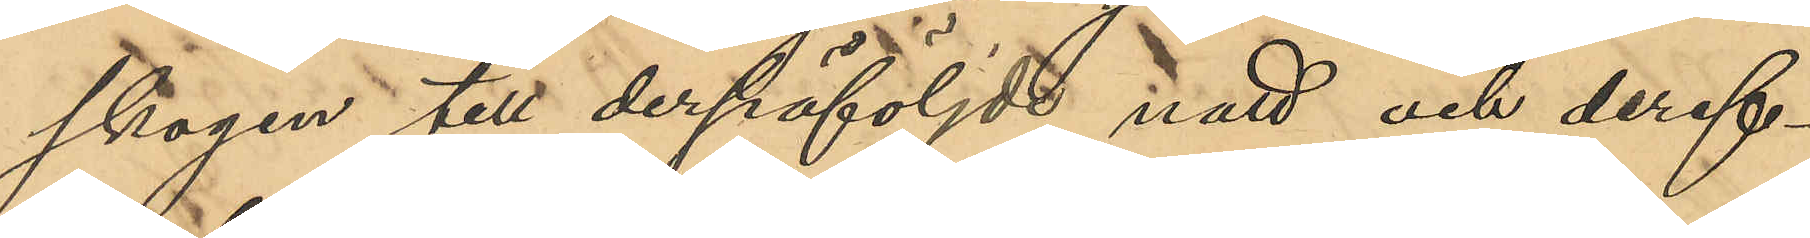skogen till derpåföljde natt och deref¬
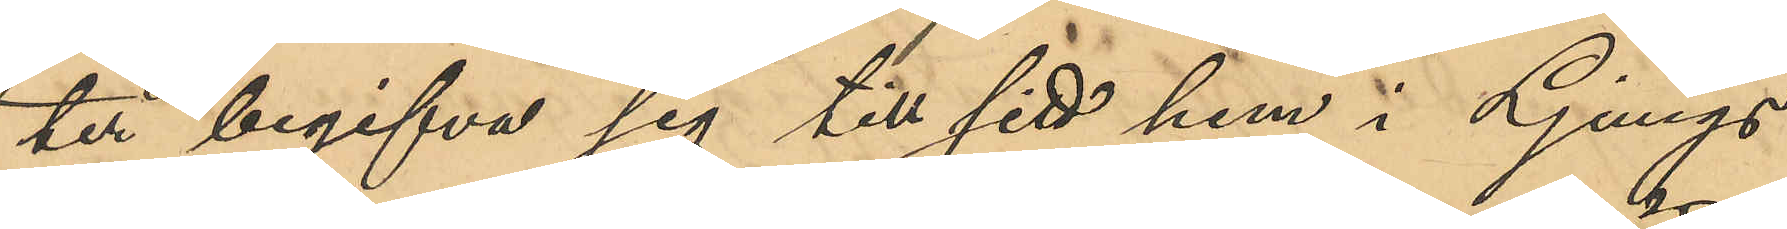ter begifva sig till sitt hem i Ljungs
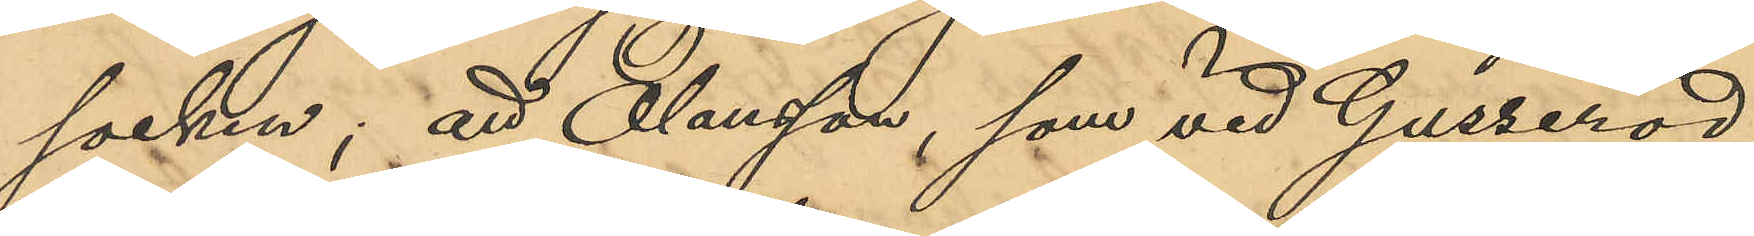socken; att Olausson, som vid Gusseröd
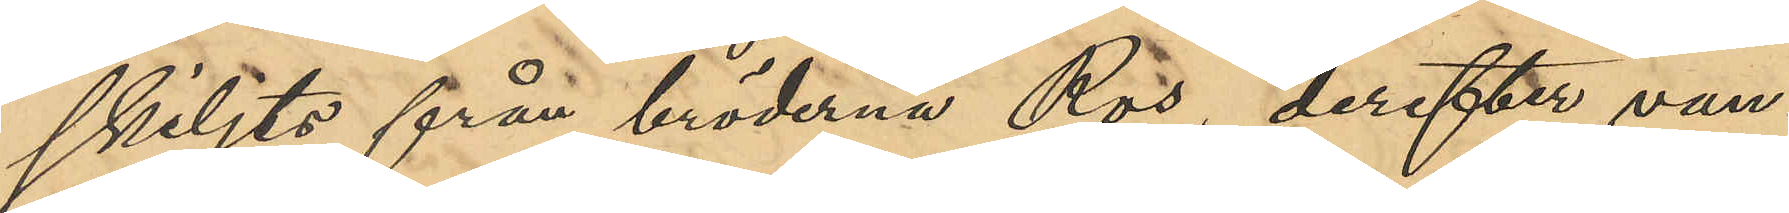skiljts från bröderna Ros, derefter van¬
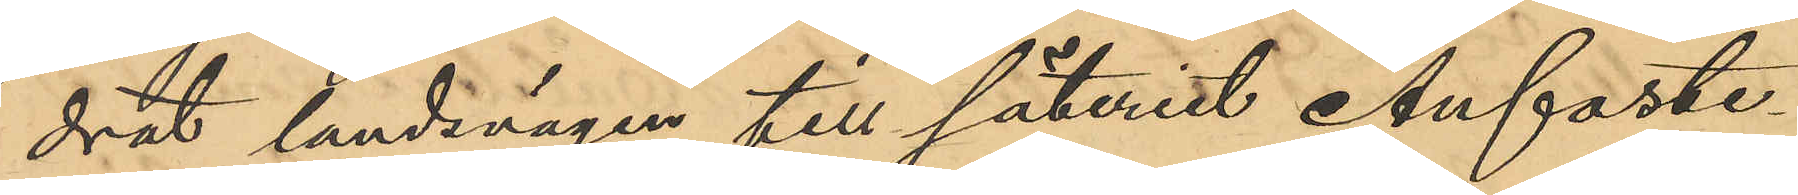drat landsvägen till säteriet Anfaste¬
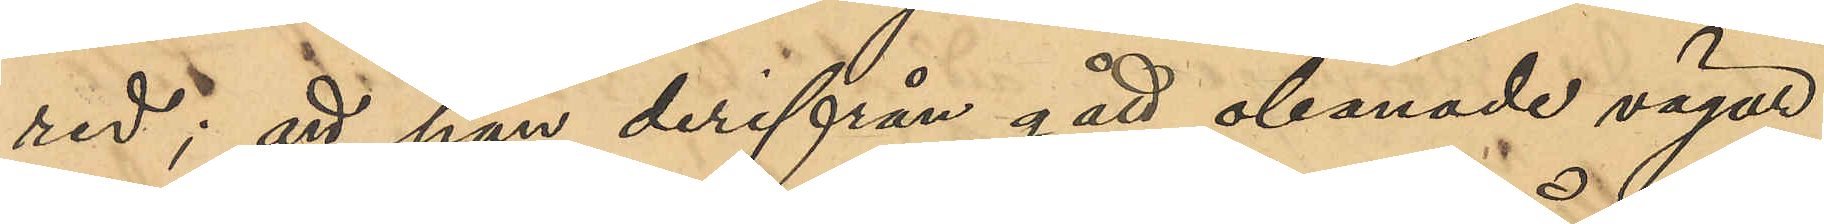red; att han derifrån gått obanade vägar
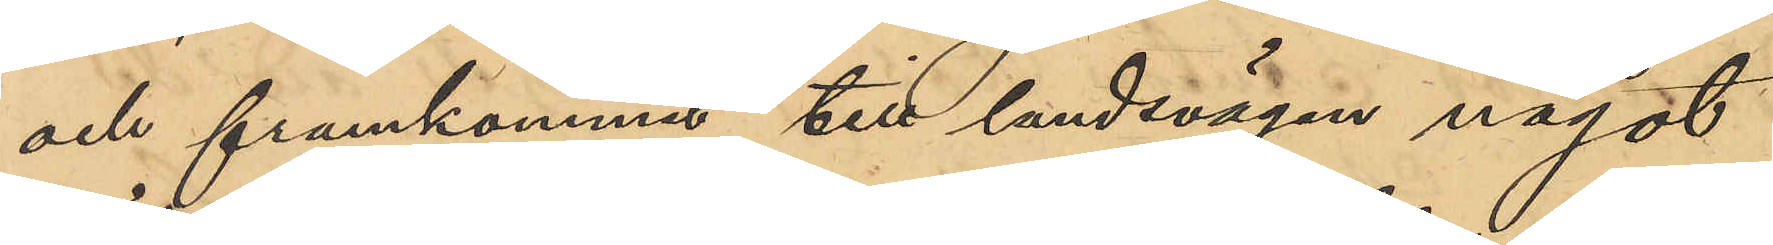och framkommit till landsvägen något
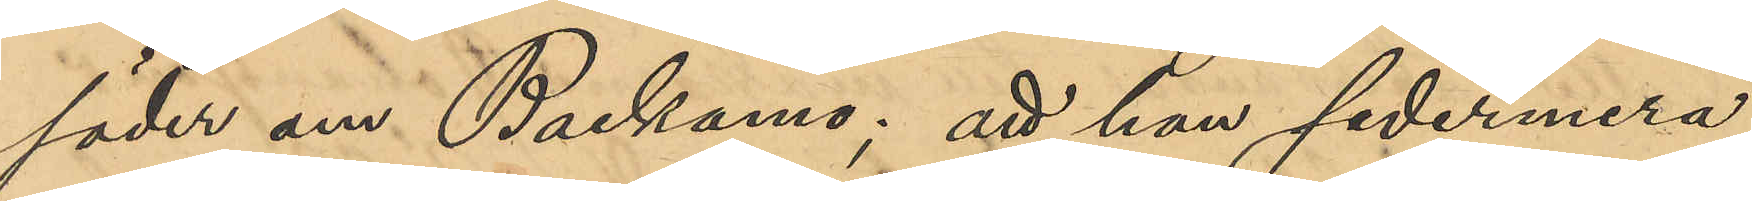söder om Backamo; att han sedermera
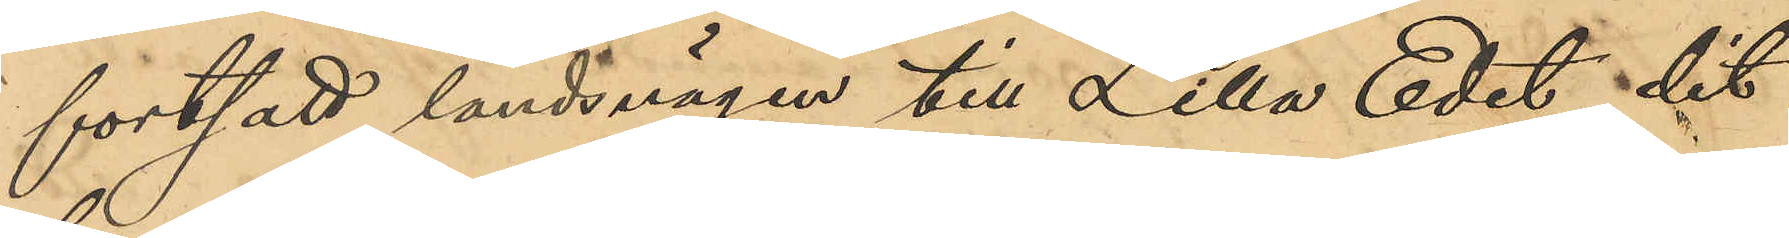fortsatt landsvägen till Lilla Edet, dit
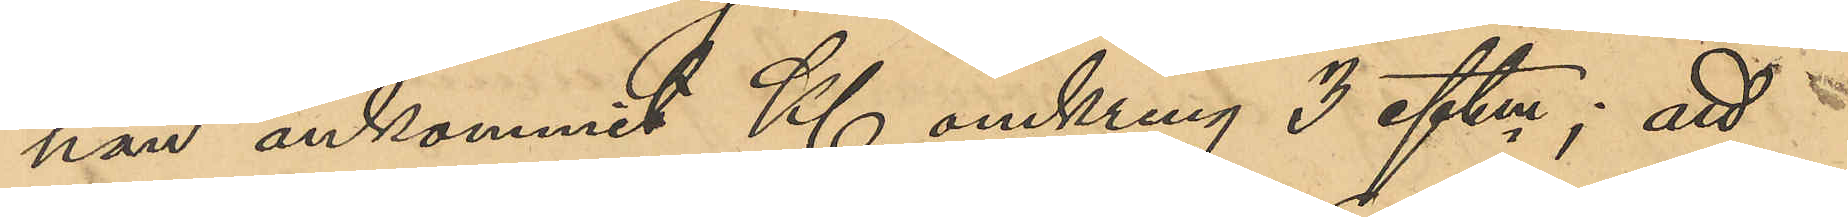han ankommit Kl omkring 3 eftm; att
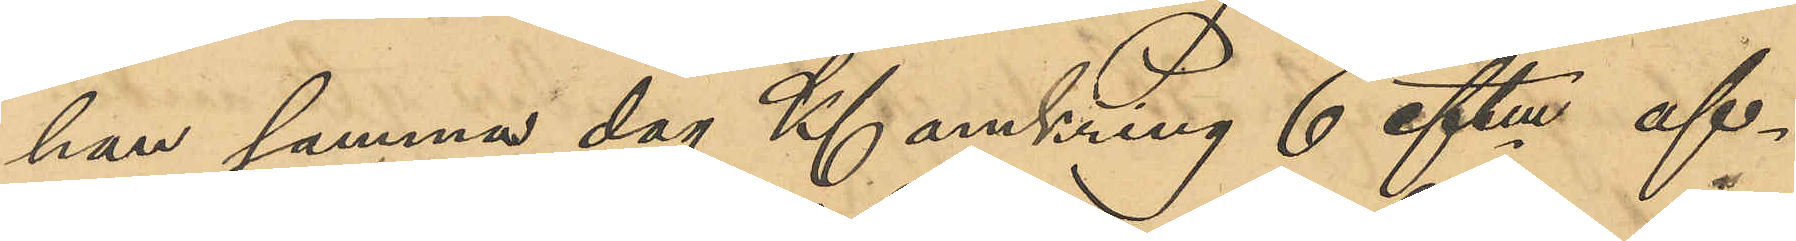han samma dag Kl omkring 6 eftm af¬
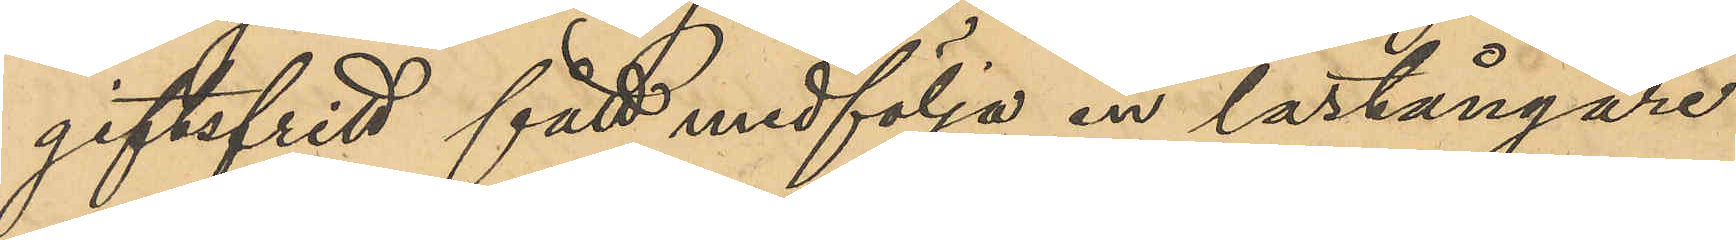giftsfritt fått medfölja en lastångare
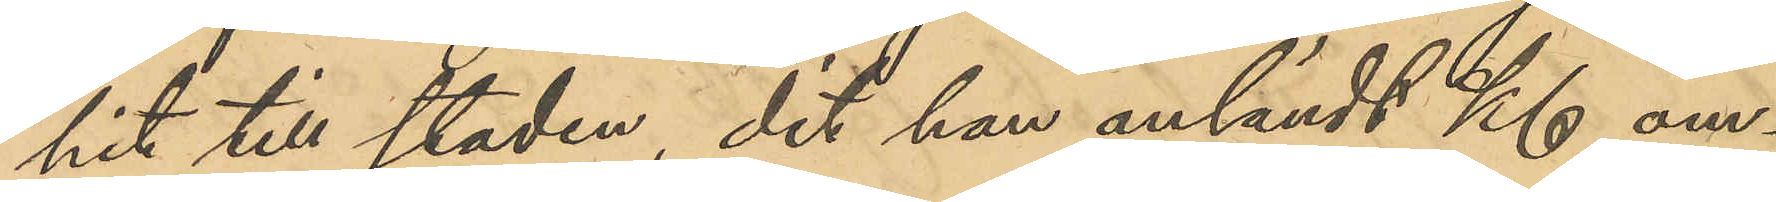hit till staden, dit han anländt Kl om¬
